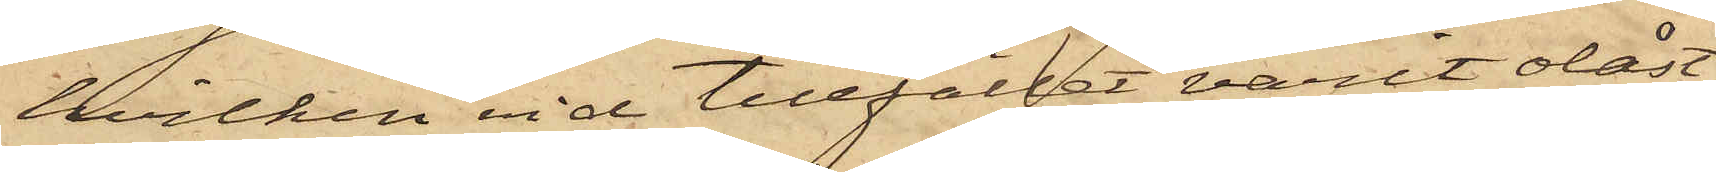hvilken vid tillfället varit olåst,
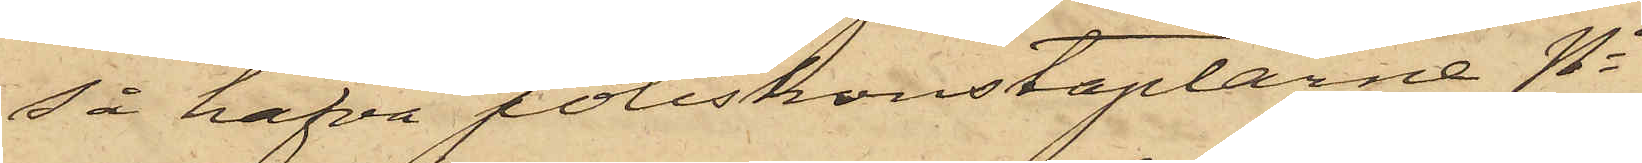så hafva poliskonstaplarne No
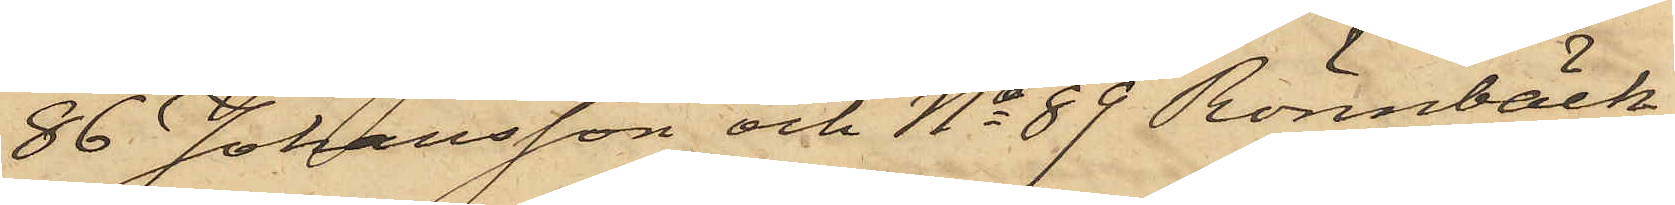86 Johansson och No 89 Rönnbäck
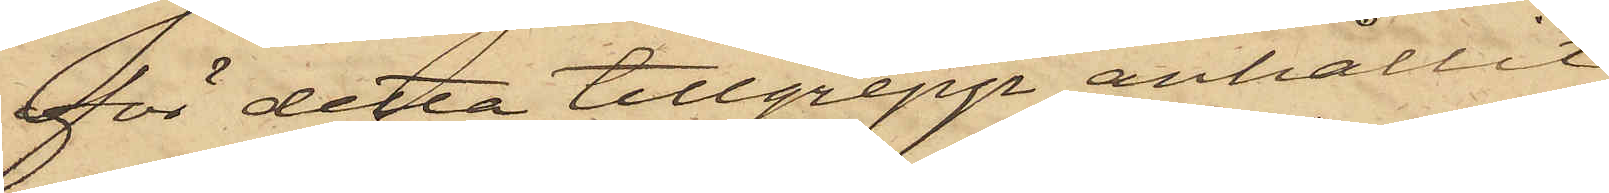för detta tillgrepp anhållit
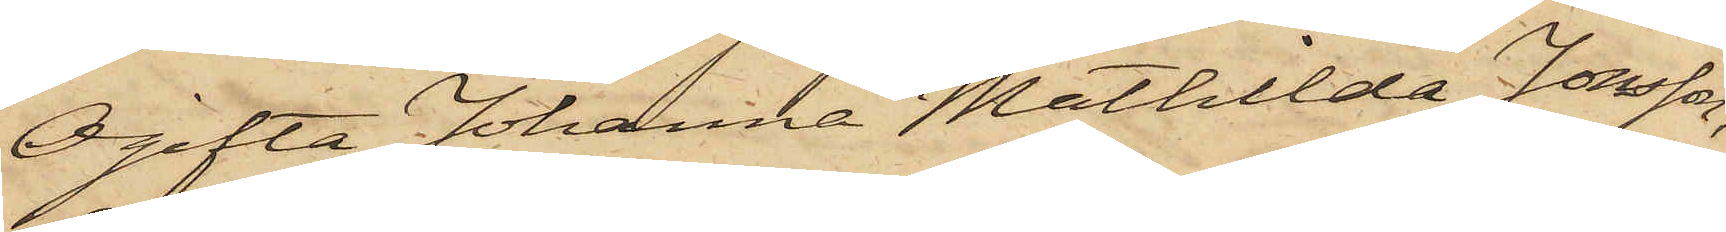Ogifta Johanna Mathilda Jonsson,
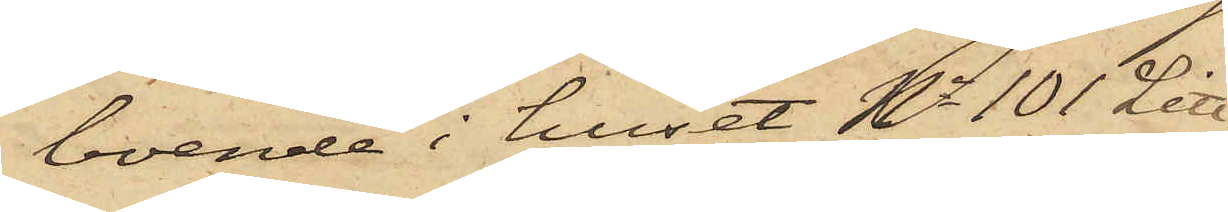boende i huset No 101 Litt
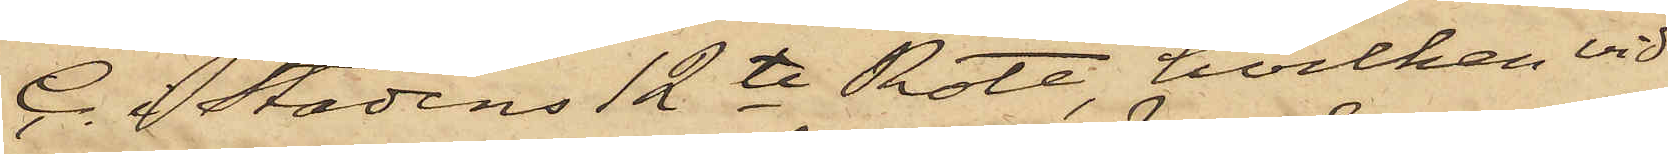C. i Stadens 12te Rote, hvilken vid
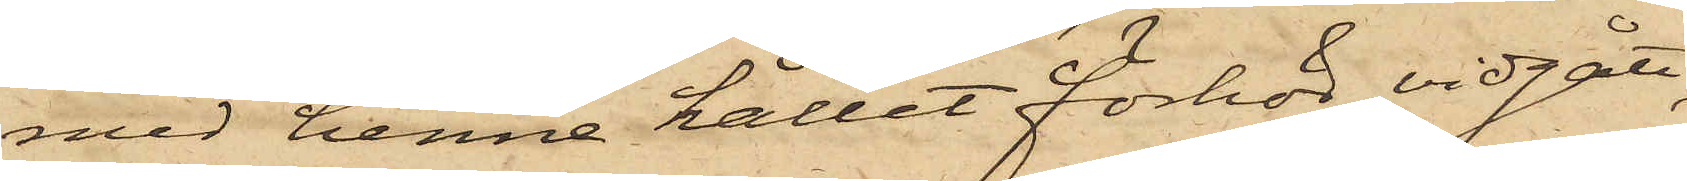med henne hållet förhör vidgått,
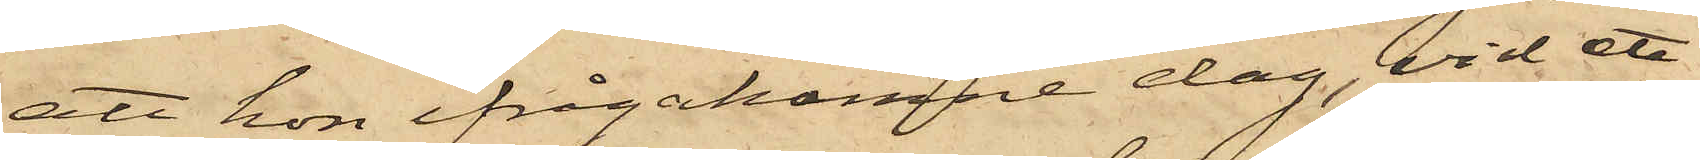att hon ifrågakomne dag, vid ett
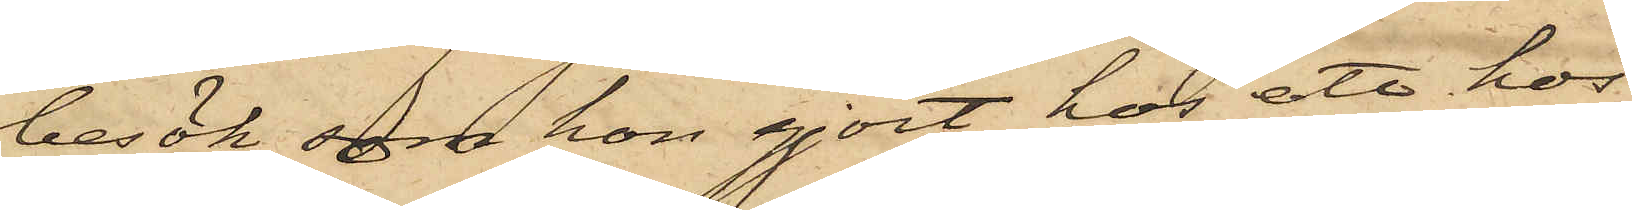besök som hon gjort hos ett hos
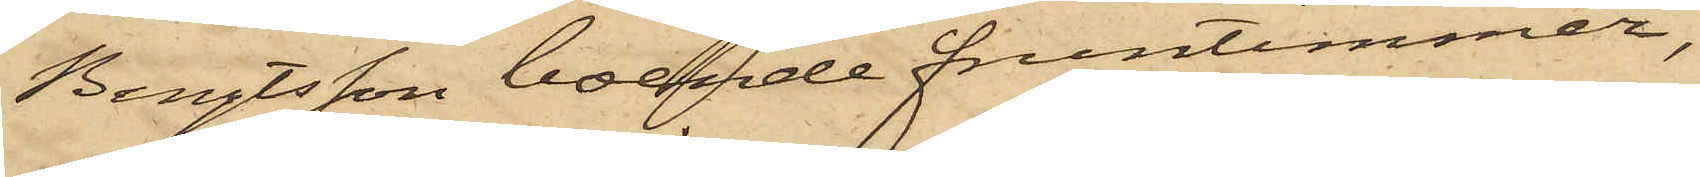Bengtsson boende fruntimmer,
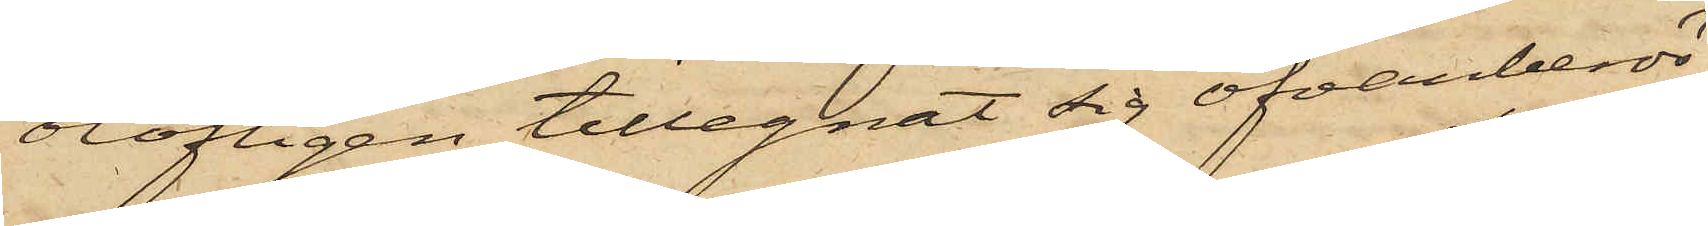olofligen tillegnat sig ofvanberör¬
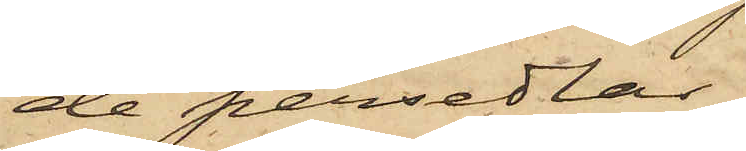de persedlar,
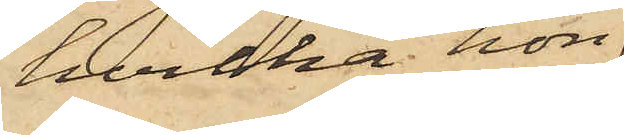hvilka hon
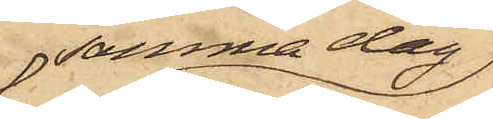samma dag
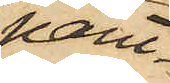pant¬
